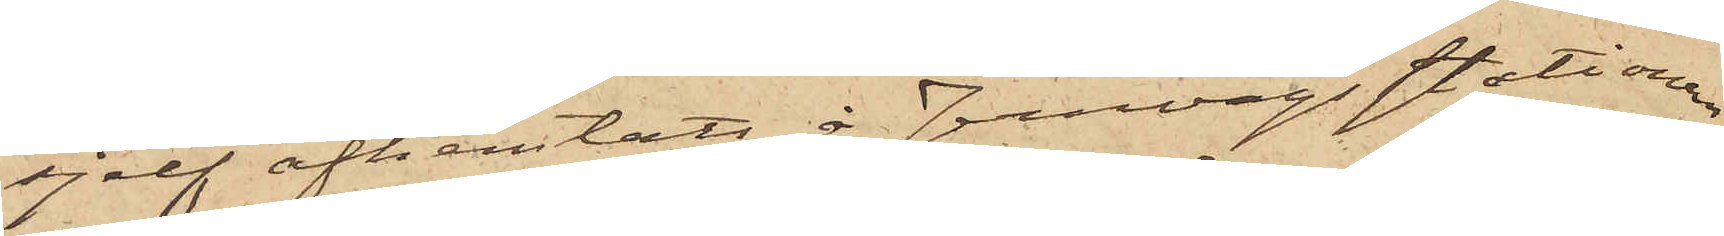sjelf afhemtats å Jernvägsstationen
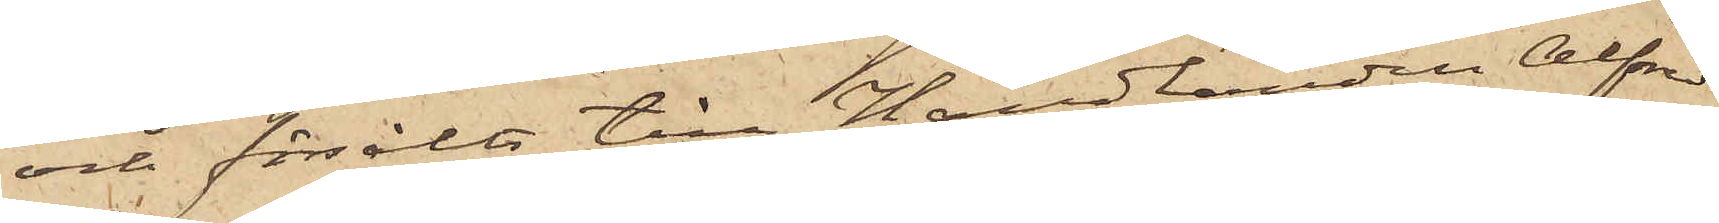och försålts till Handlanden Alfred
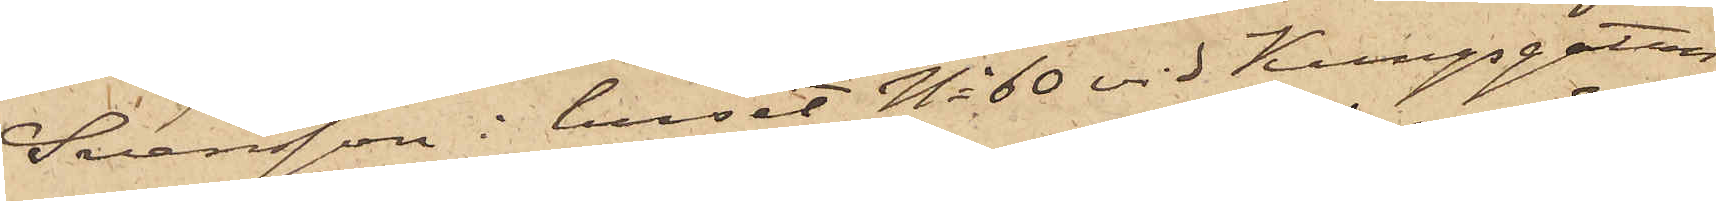Svensson i huset No 60 vid Kungsgatan
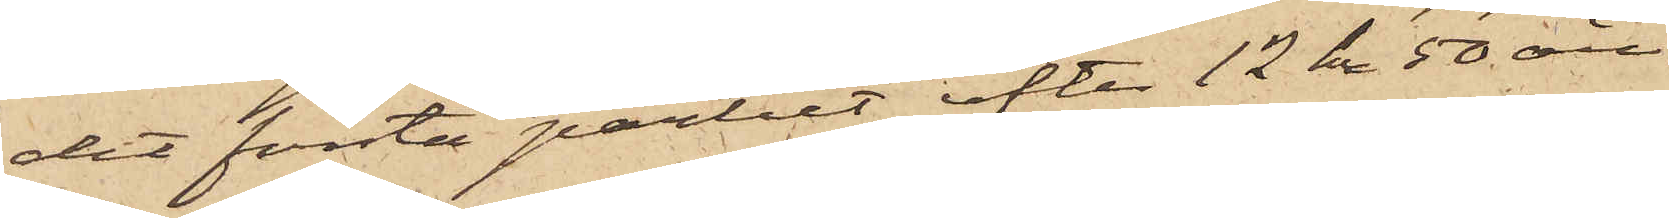det första partiet efter 12 kr 50 öre
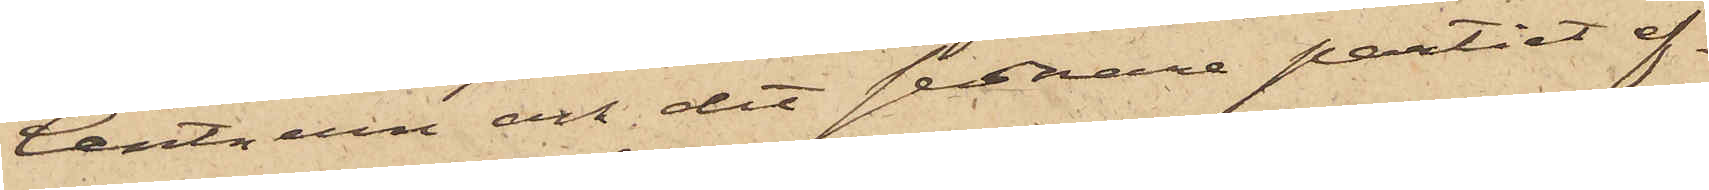Centnern och det sednare partiet ef¬
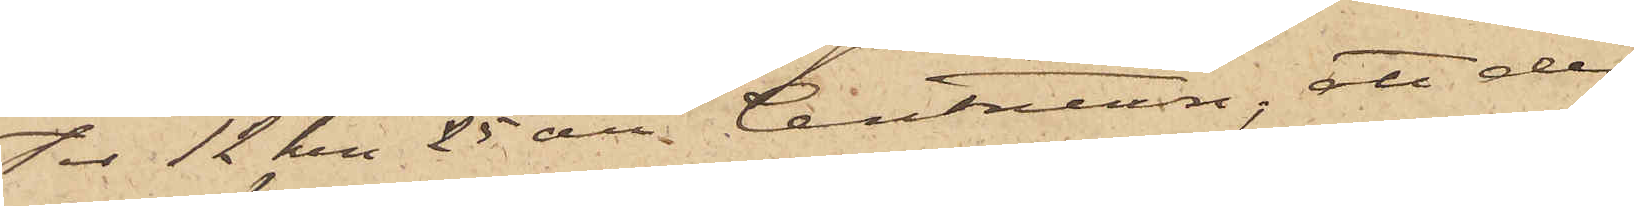tor 12 Kr. 25 öre Centnern; att de
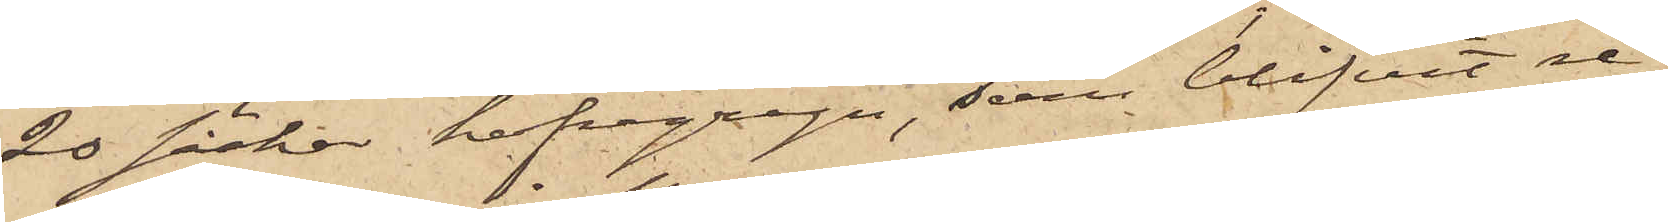20 säckar hafvregryn, som blifvit re¬
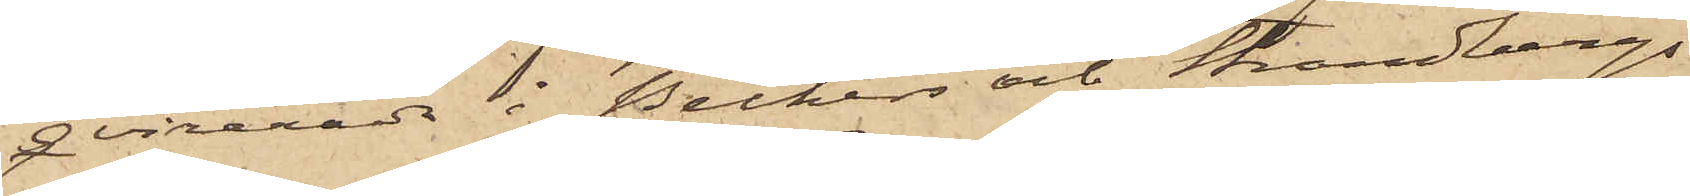qvirerade i Beckers och Strandbergs
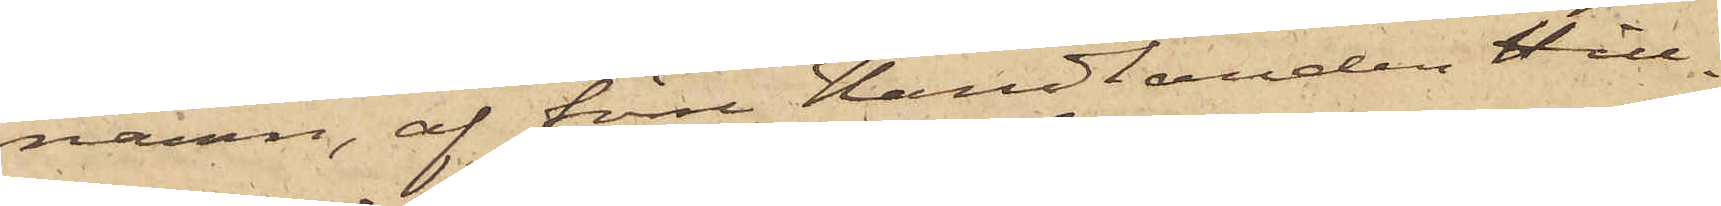namn, af förre Handlanden Hill¬
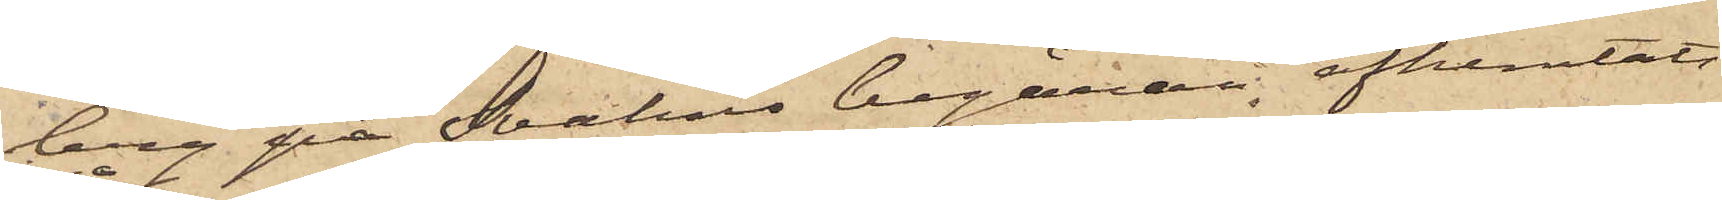berg på Svahns begäran afhemtats
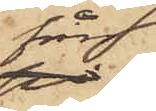från
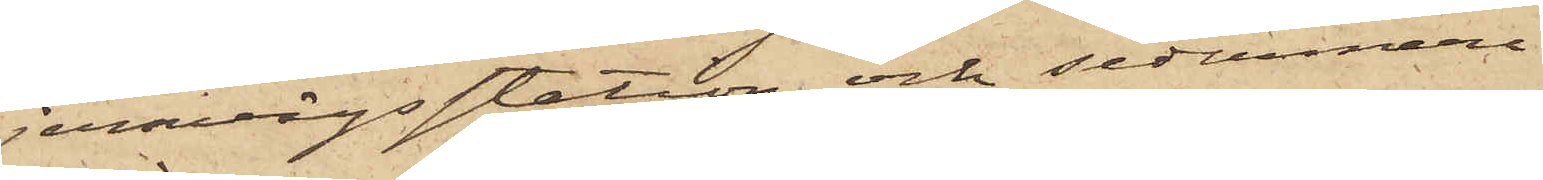jernvägsstation och sedermera
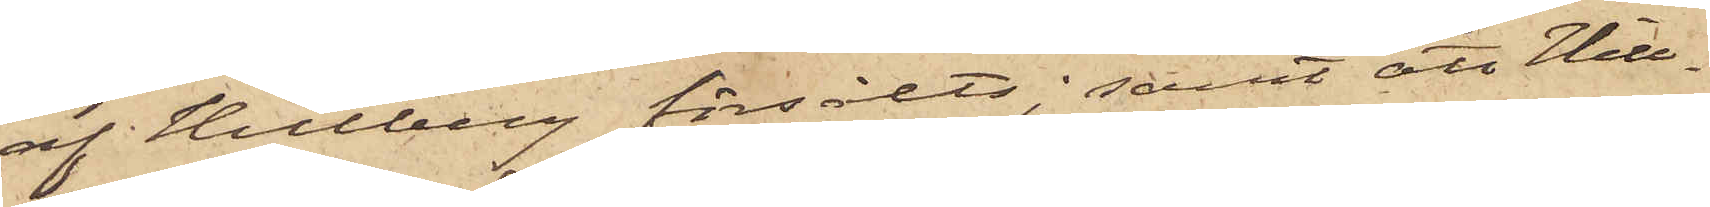af Hillberg försålts; samt att Hill¬
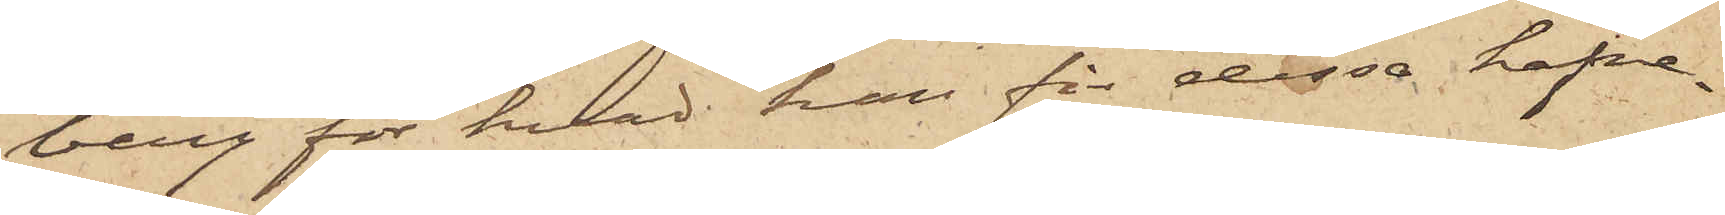berg för hvad han för dessa hafre¬
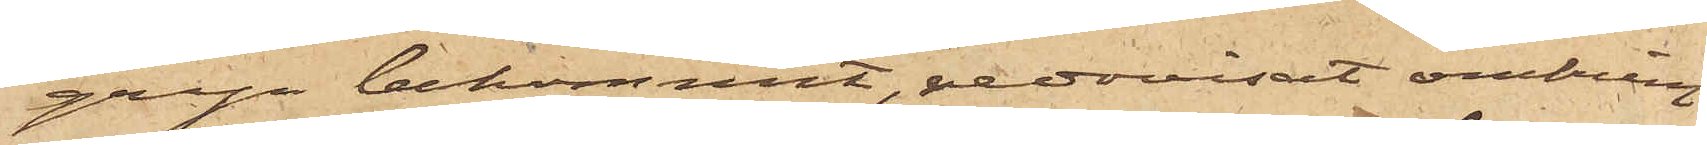gryn bekommit, redovisat omkring
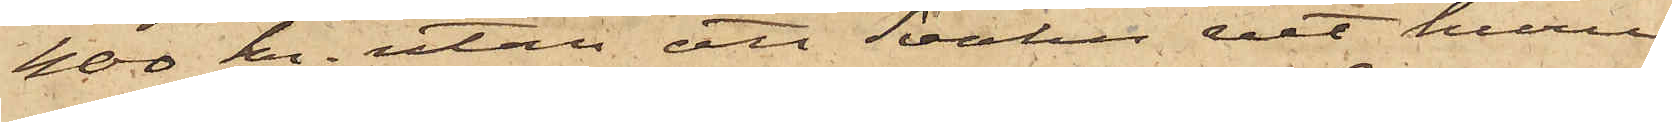400 kr. utan att Svahn vet huru
